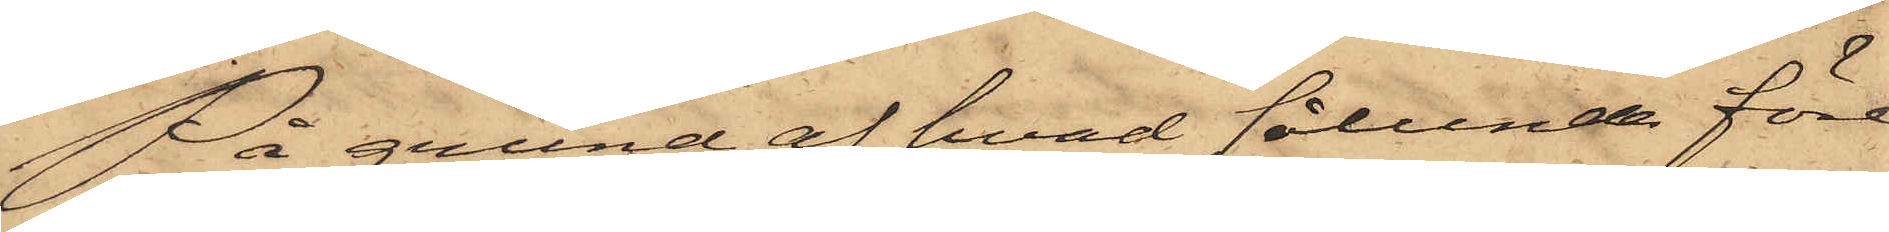På grund af hvad sålunda före¬
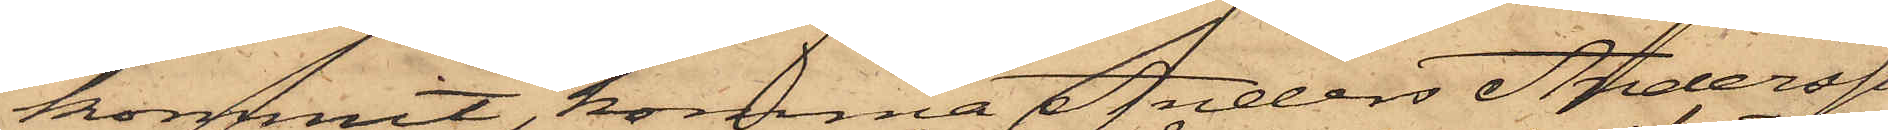kommit, komma Anders Andersson
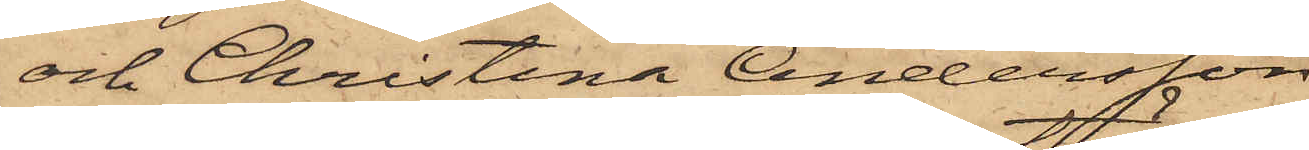och Christina Andersson
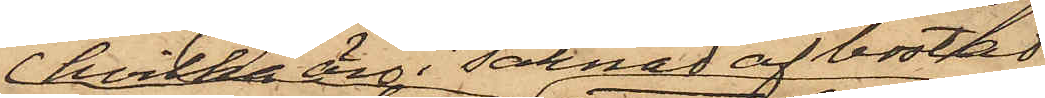hvilka äro i saknad af bostad
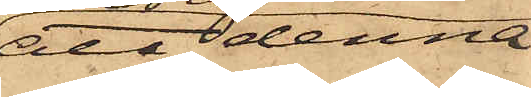att denna
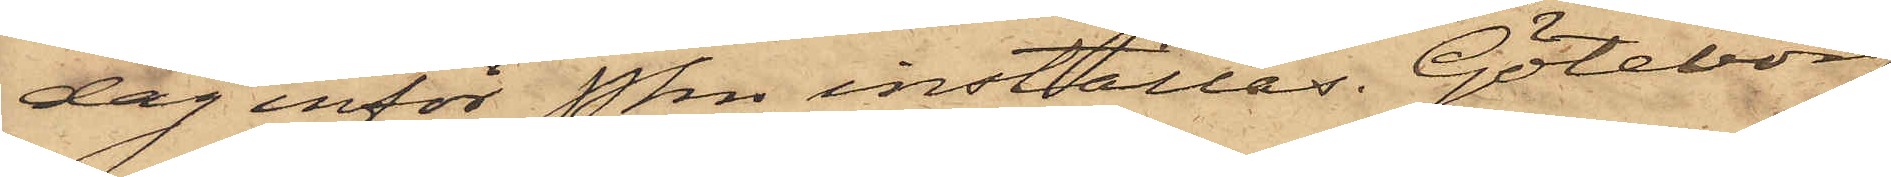dag inför Pkn inställas. Göteborg
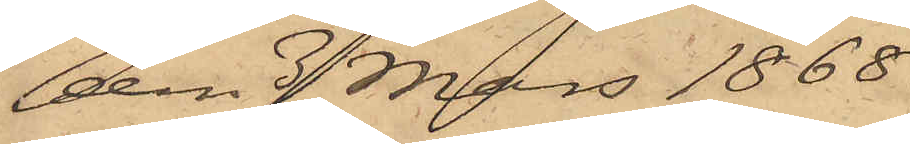den 3 Mars 1868.
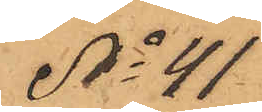No 41
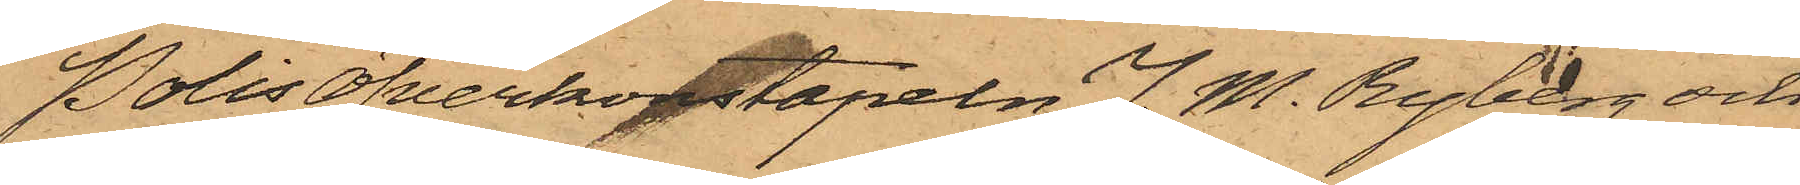Polisöfverkonstapeln J. M. Ryberg och
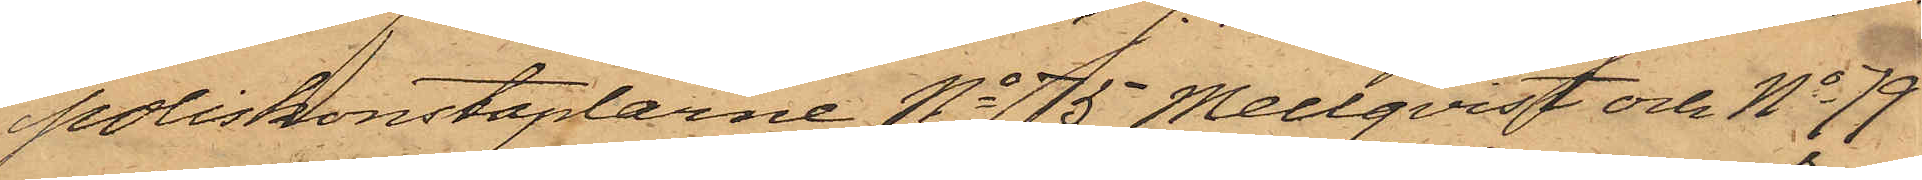poliskonstaplarne No 75 Mellqvist och No 79
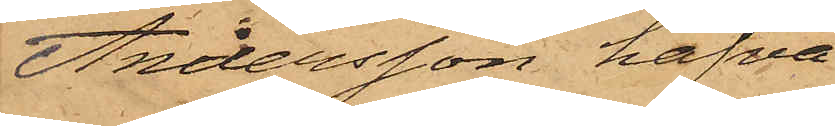Andersson hafva
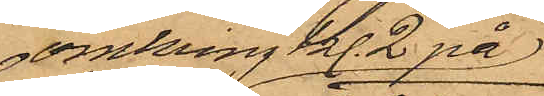omkring kl. 2 på
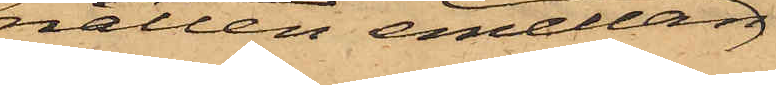natten emellan
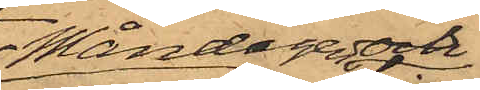Måndagen och
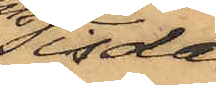Tisda¬
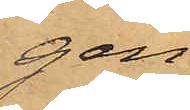gen
